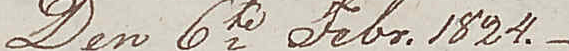Den 6te Febr. 1824.
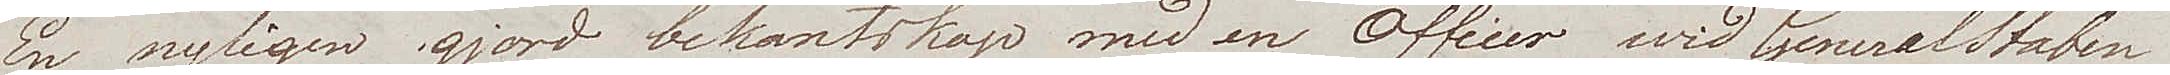En nyligen gjord bekantskap med en Officer wid GeneralStaben
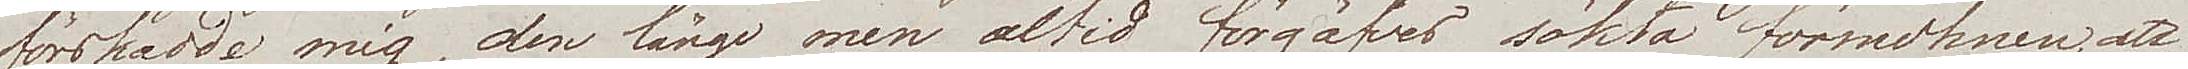förskadde mig, den länge men altid förgäfves sökta förmohnen, att
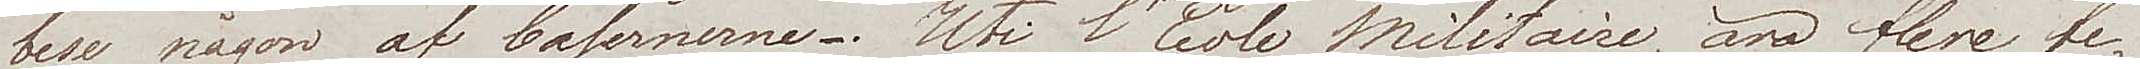bese någon af Casernerne. Uti l'Ecole Militaire, äro flere be¬
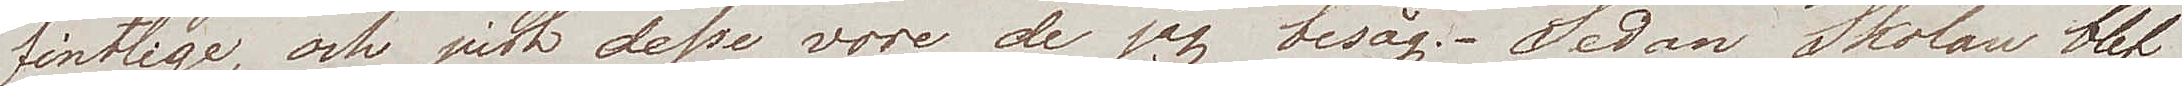fintlige, och just dessa vore de jag besåg. Sedan Skolan blef
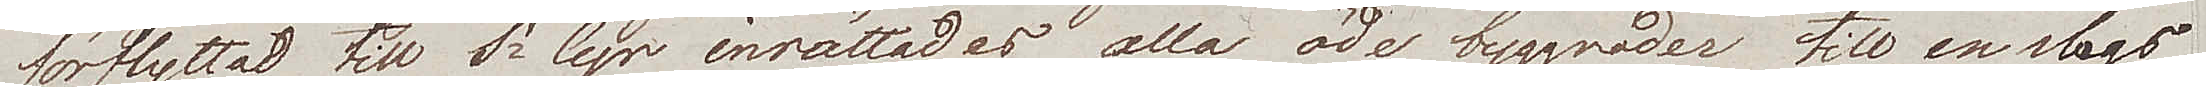förflyttad till St Cyr inrättades alla öde byggnader till en slags
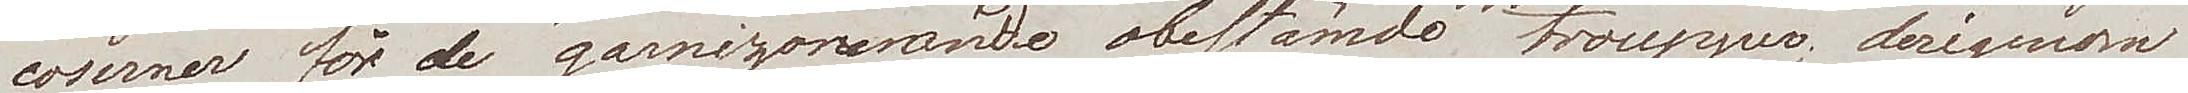caserner för de garnizonerande obestämde troupper; derigenom
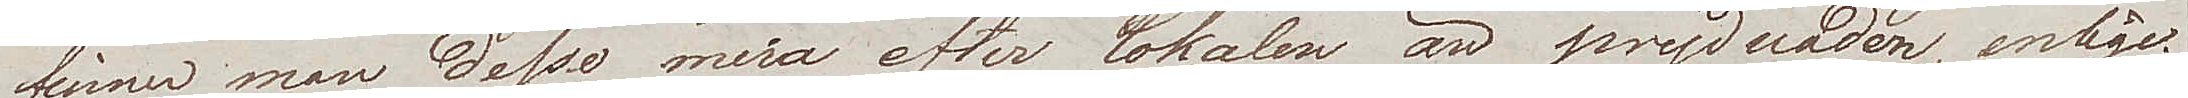finner man dessa mera efter lokalen än prydnaden, enlige.
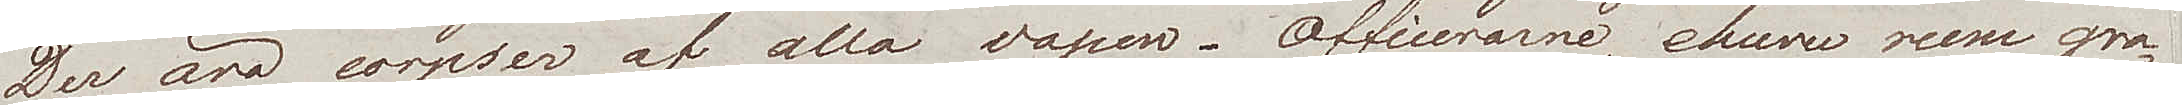Der äro corpser af alla vapen. Officerarne, ehuru rum gra¬
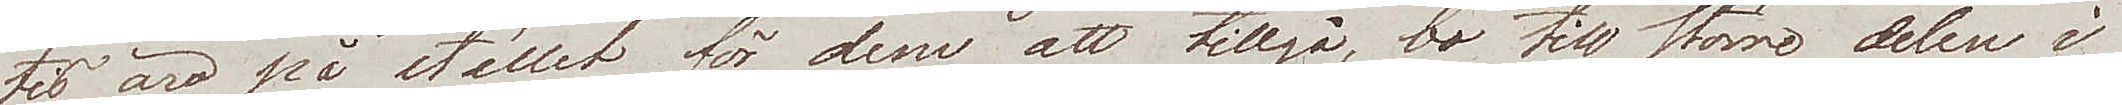tis äro på stället för dem att tillgå, bo till större delen i
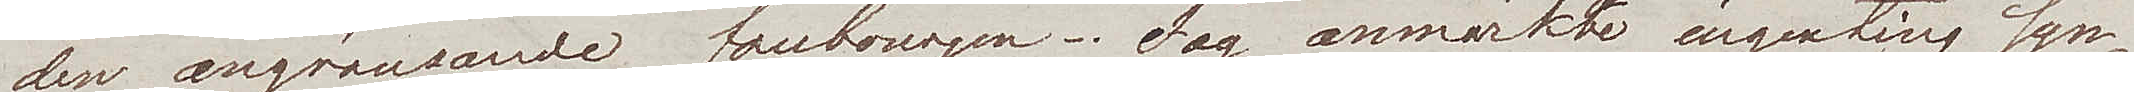den angränsande faubourgen. Jag anmärkte ingenting syn¬
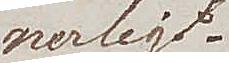nerligt.
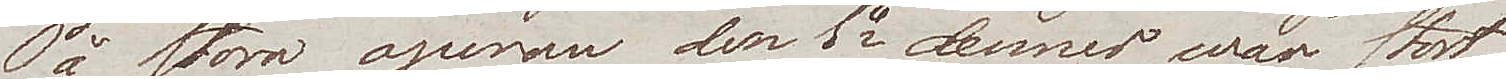På stora operan den 1e dennes war stort
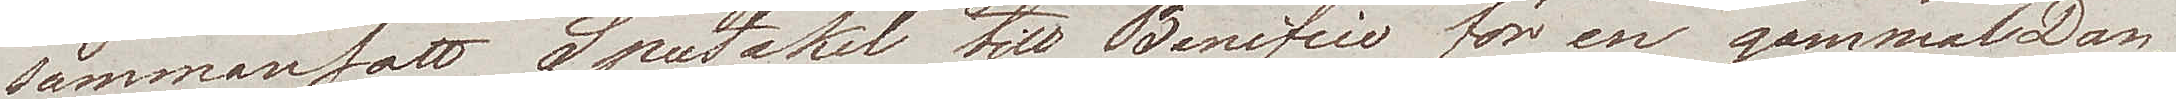sammansatt Spectakel till Benéfice för en gammal Dan¬
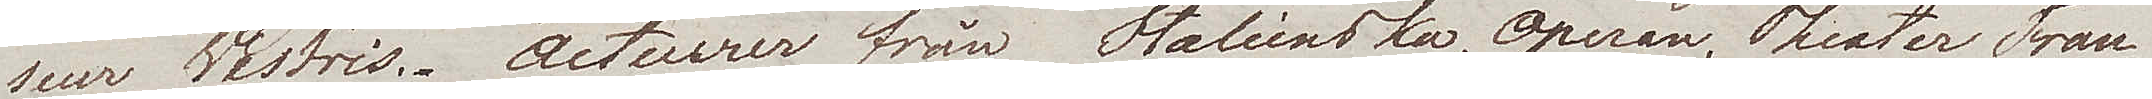seur Westris. Acteurer från Italienska, Operan, Theater Fran¬
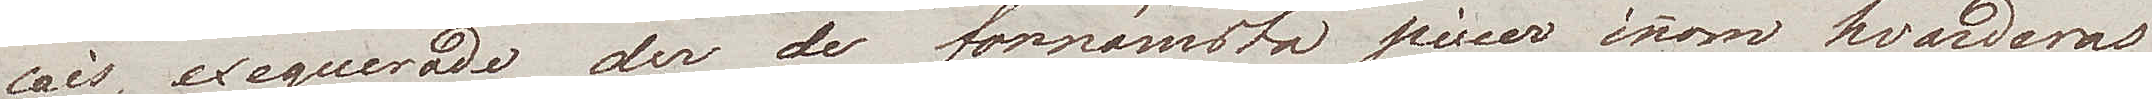cais exequerade der de fornämsta piecer inom hvarderas
